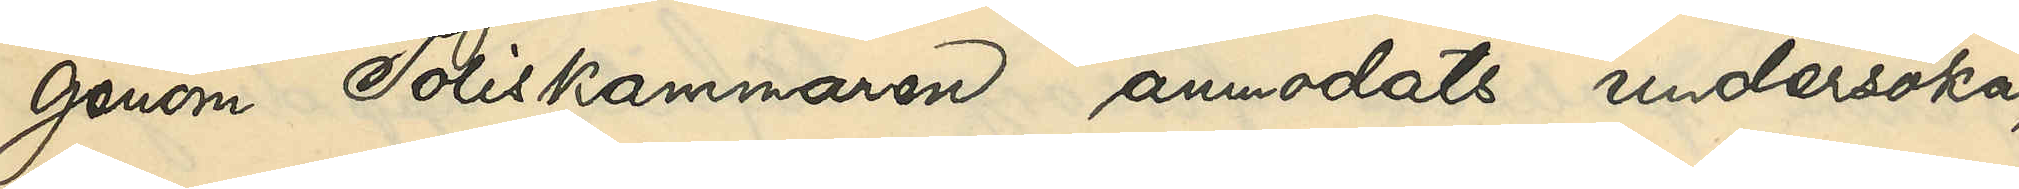genom Poliskammaren anmodats undersöka,
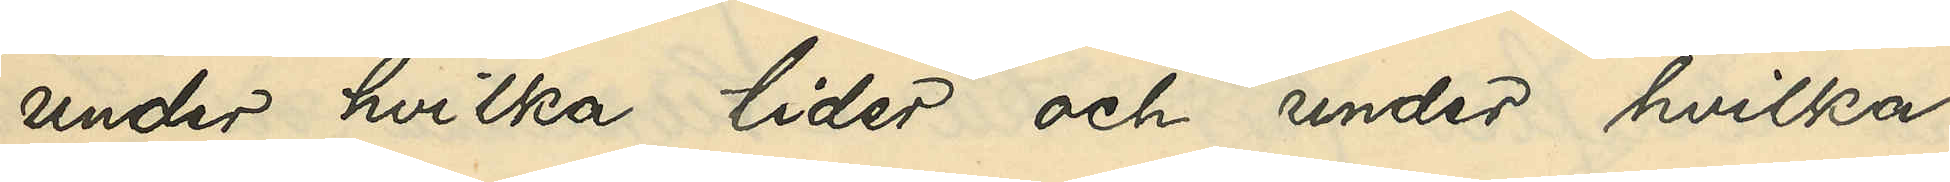under hvilka tider och under hvilka
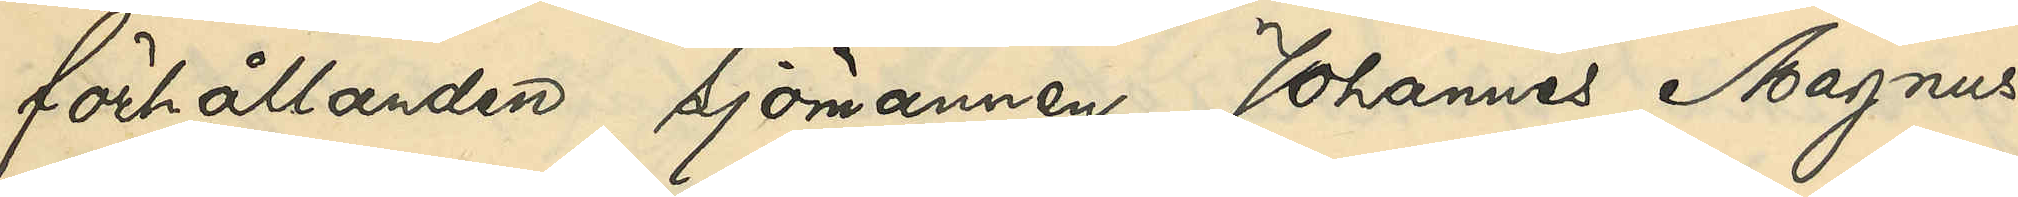förhållanden Sjömannen Johannes Magnus¬
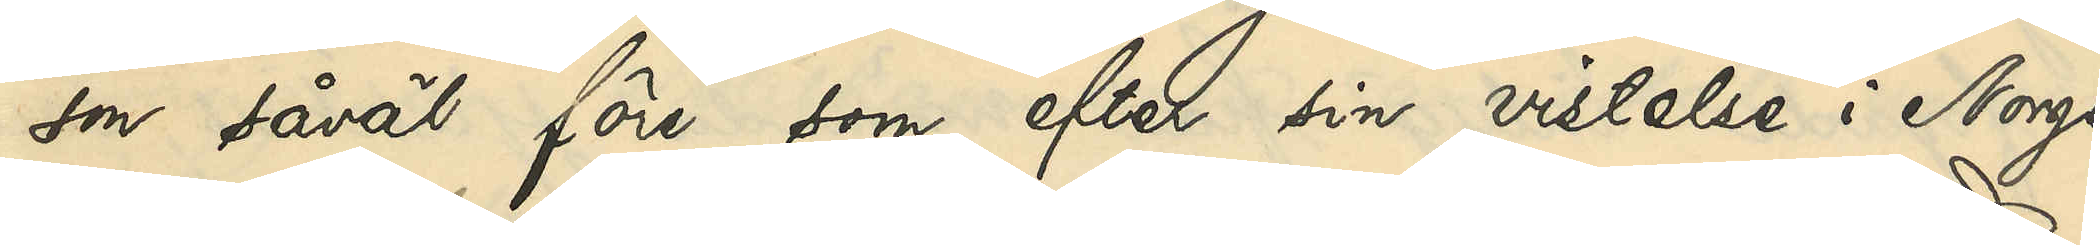osn såväl före som efter sin vistelse i Norge
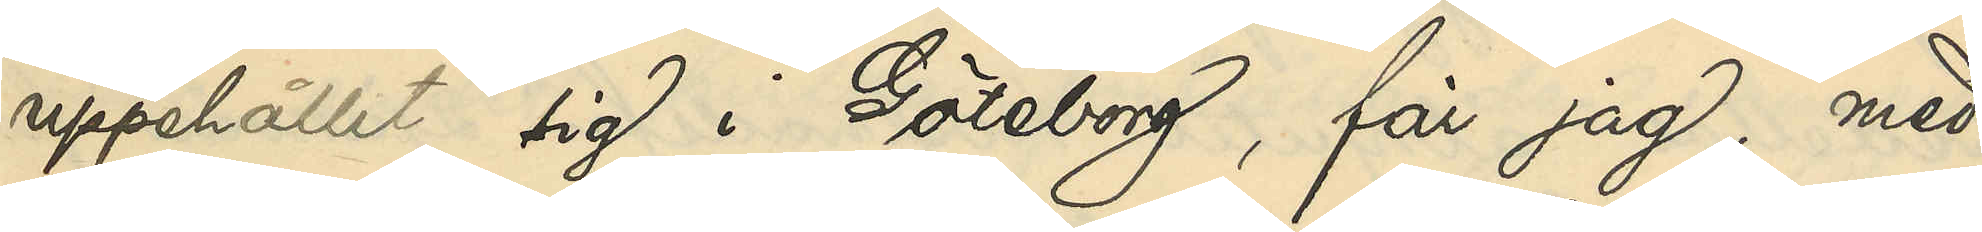uppehållit sig i Göteborg, får jag, med
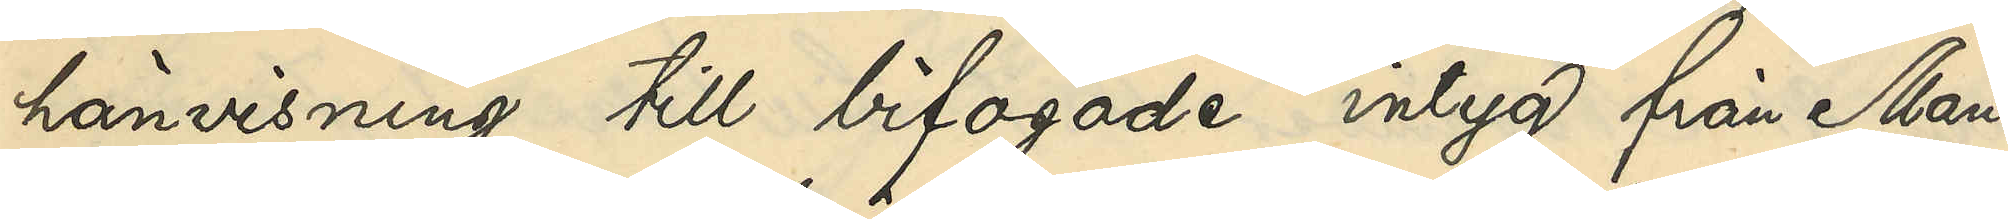hänvisning till bifogade intyg från Man¬
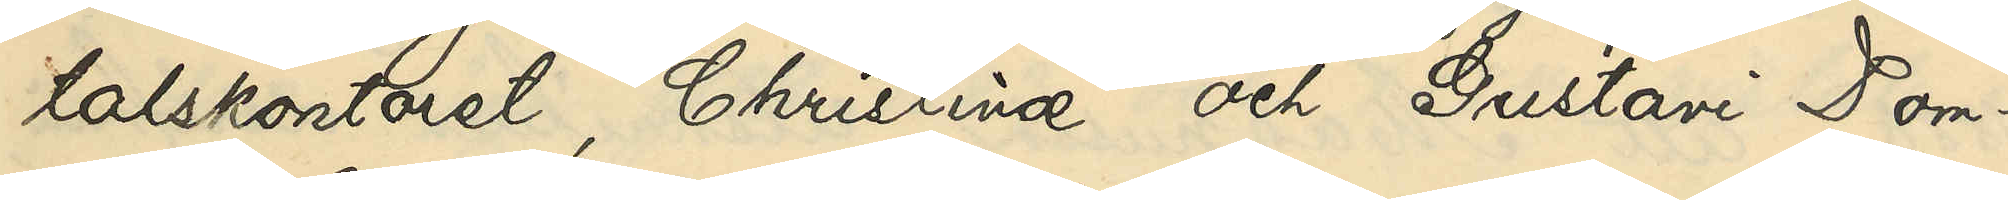talskontoret, Christinæ och Gustavi Dom¬
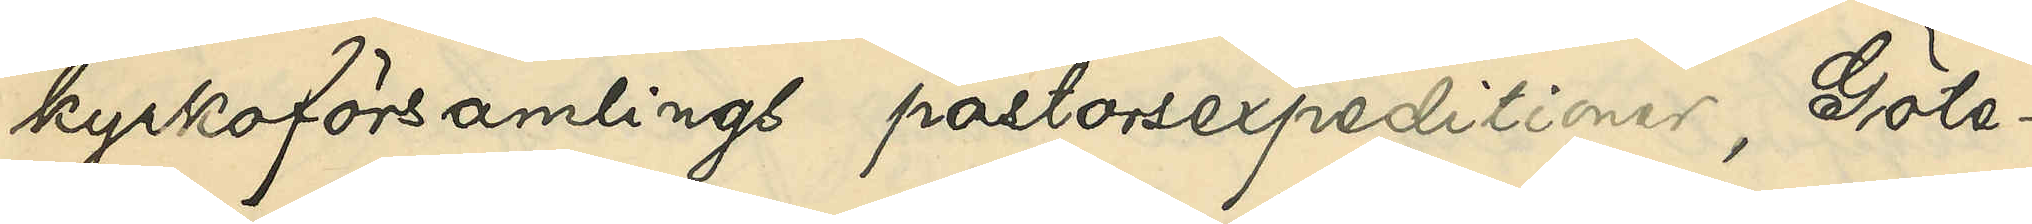kyrkoförsamlings pastorsexpeditioner, Göte¬
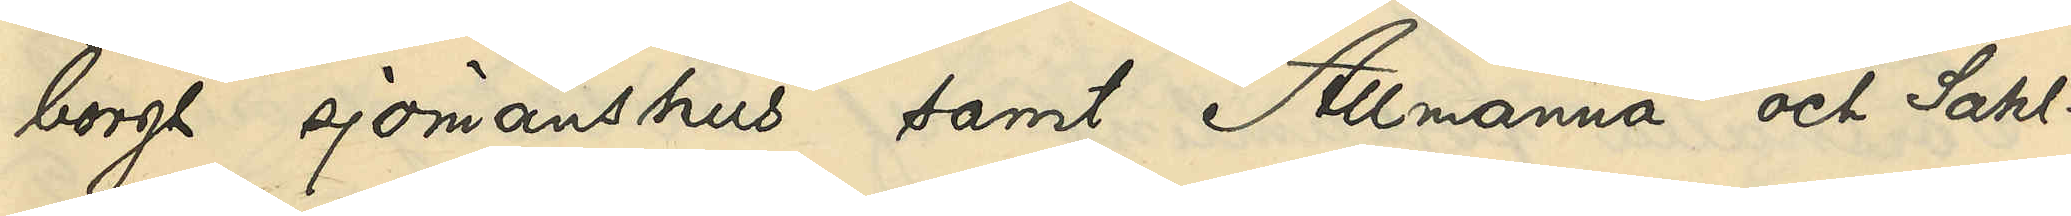borgs sjömanshus samt Allmänna och Sahl¬
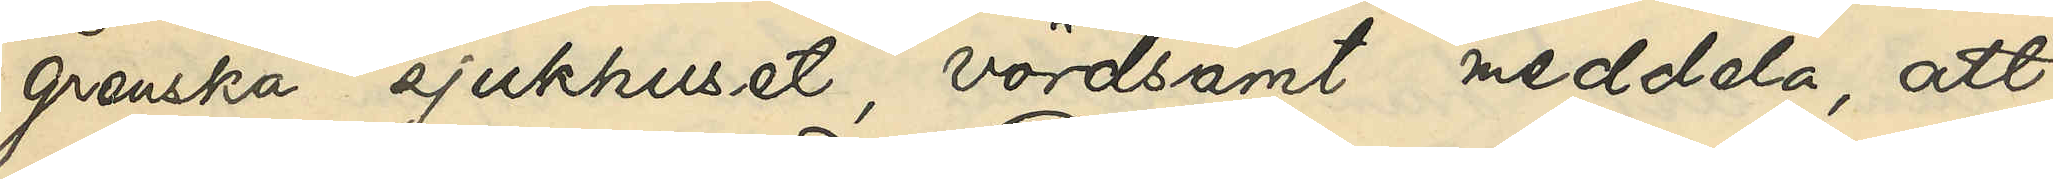grenska sjukhuset, vördsamt meddela, att
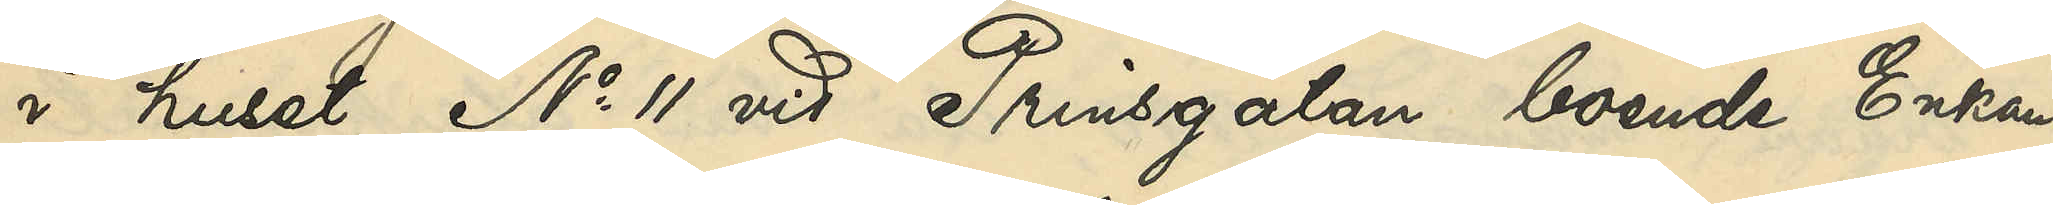i huset No 11 vid Prinsgatan boende Enkan
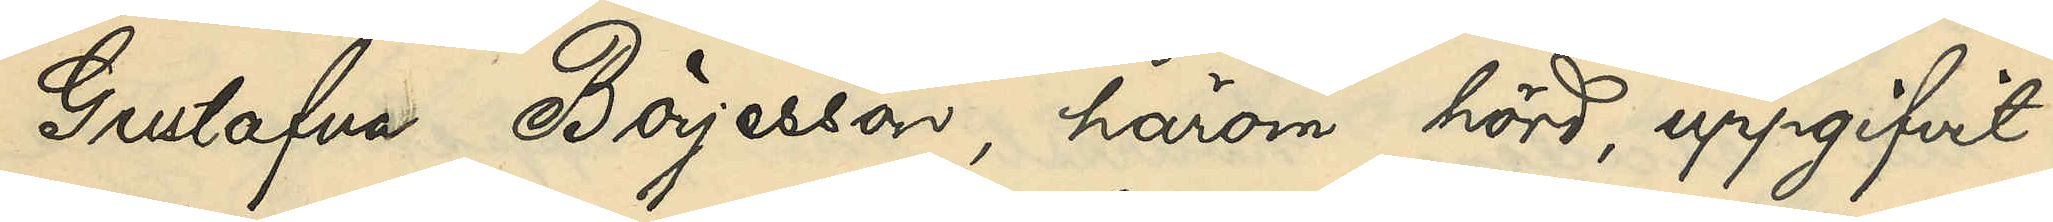Gustafva Börjesson, härom hörd, uppgifvit:
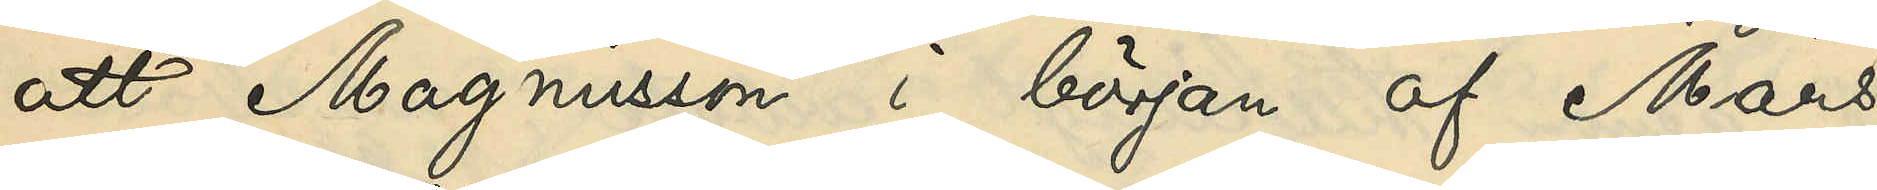att Magnusson i början af Mars
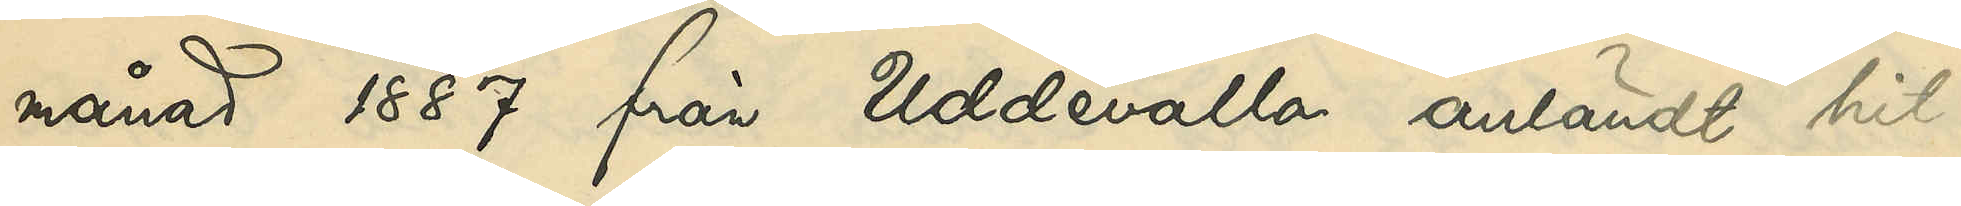månad 1887 från Uddevalla anländt hit
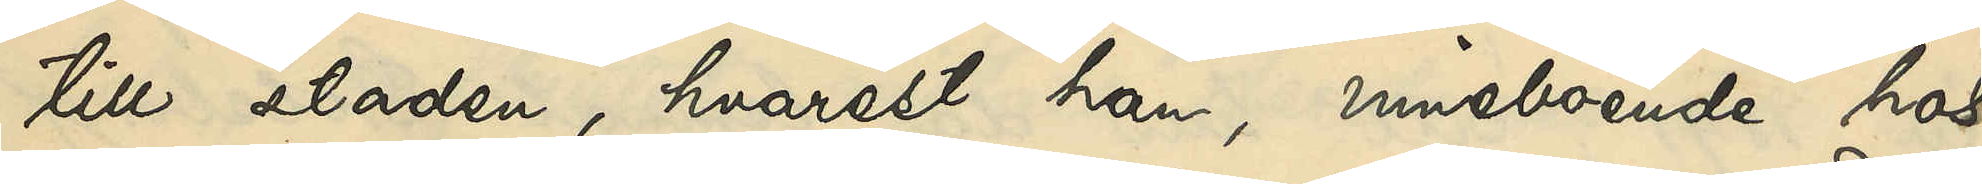till staden, hvarest han, inneboende hos
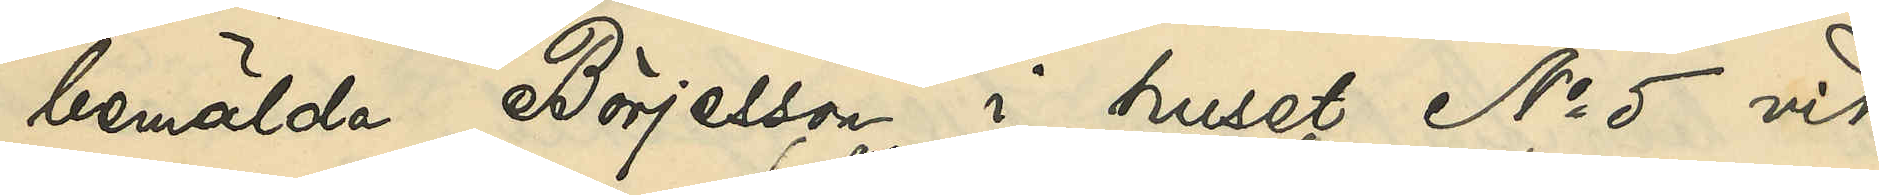bemälda Börjesson i huset No 5 vid
